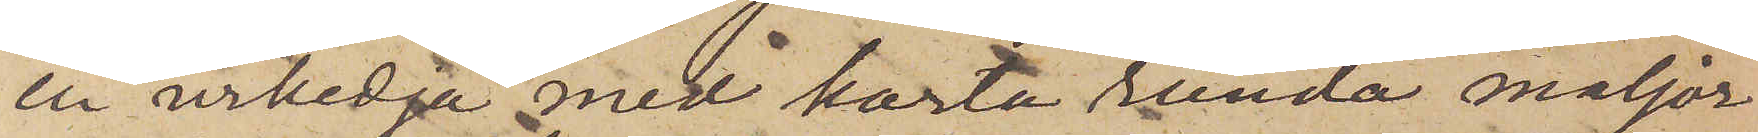en urkedja med korta runda maljor
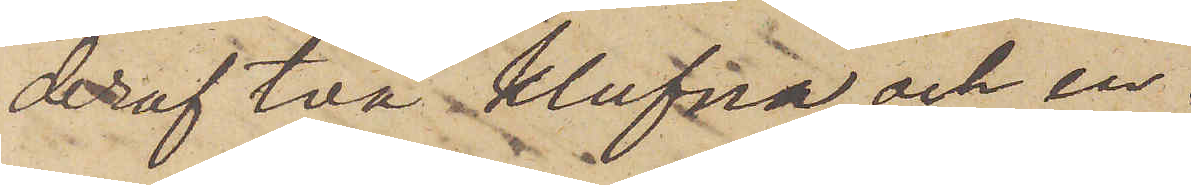deraf två klufvna och en
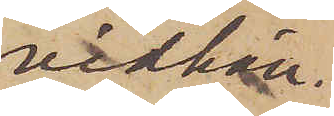vidhän¬
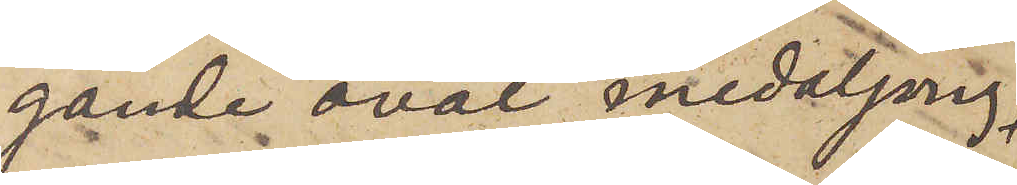gande oval medaljong
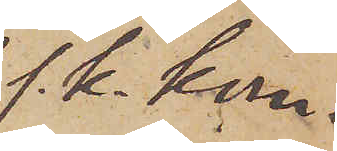s. k. kom¬
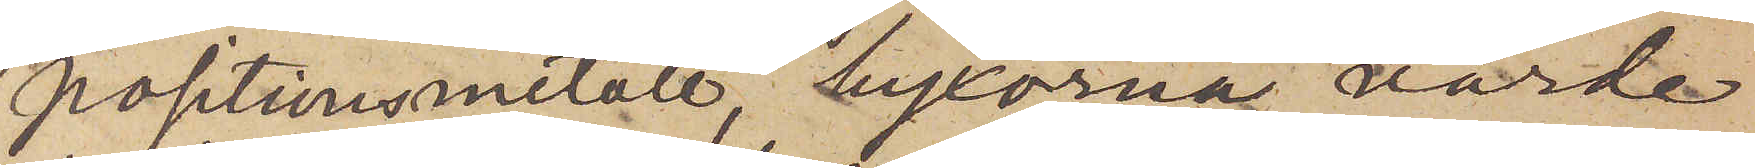positionsmetall, byxorna värda
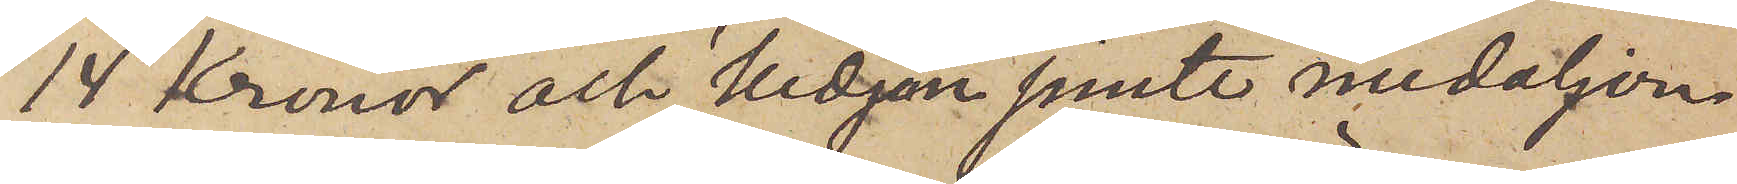14 Kronor och kedjan jemte medaljon¬
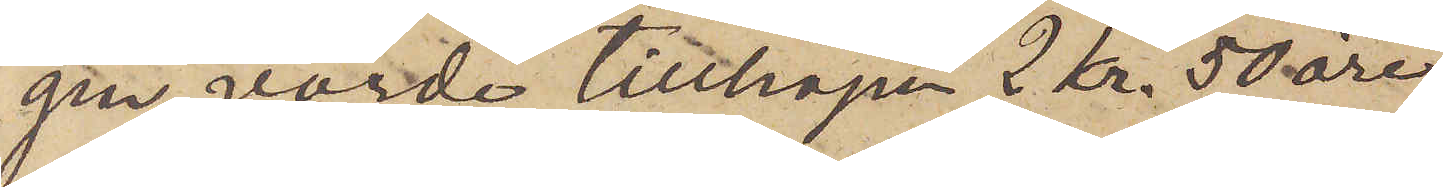gen, värde tillhopa 2 Kr. 50 öre.
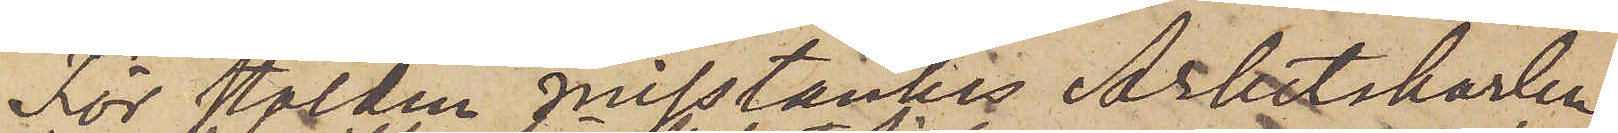För stölden misstänkes Arbetskarlen
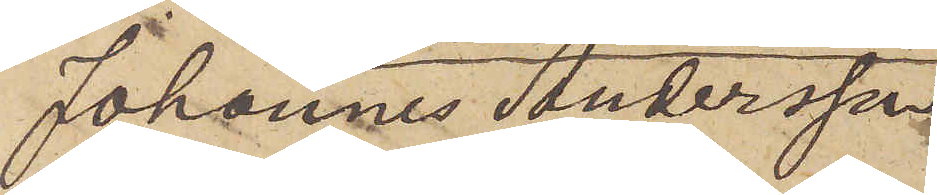Johannes Andersson,
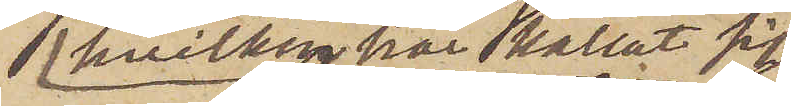 hvilken här kallat sig
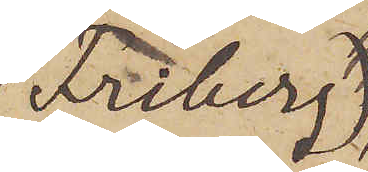Friberg,
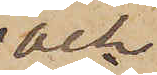och
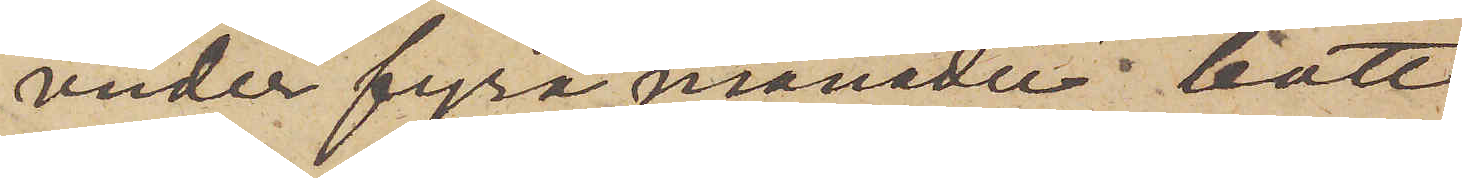under fyra månader bott
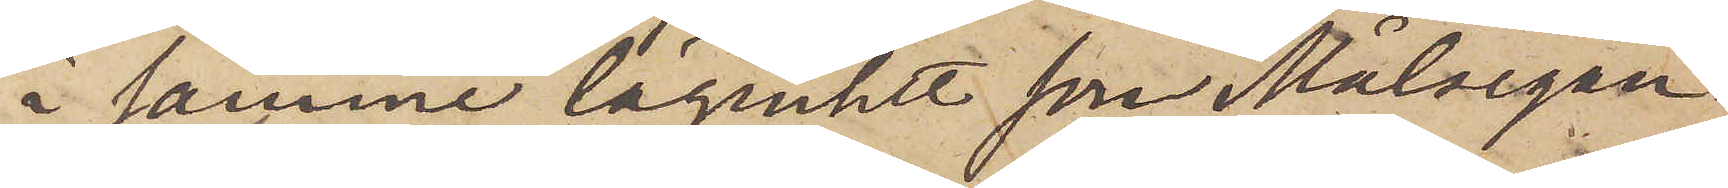i samme lägenhet som Målsegar¬
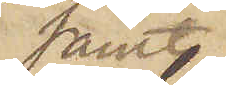samt
